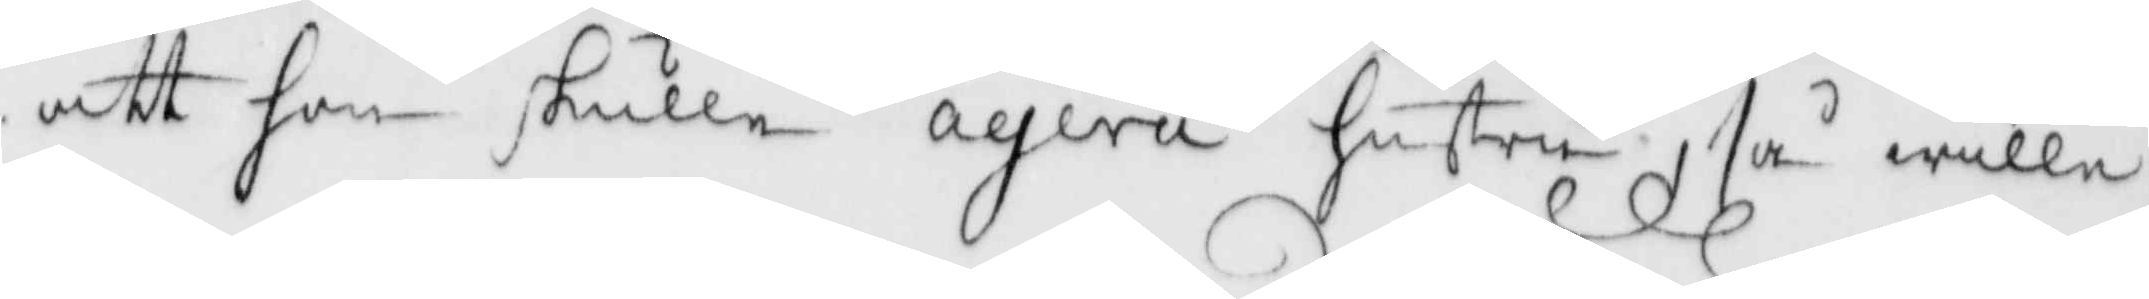att hon skulle agera hustru, så wille
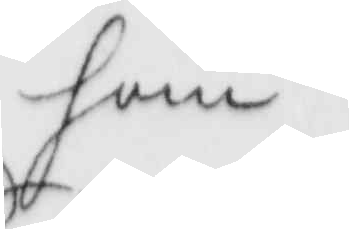han
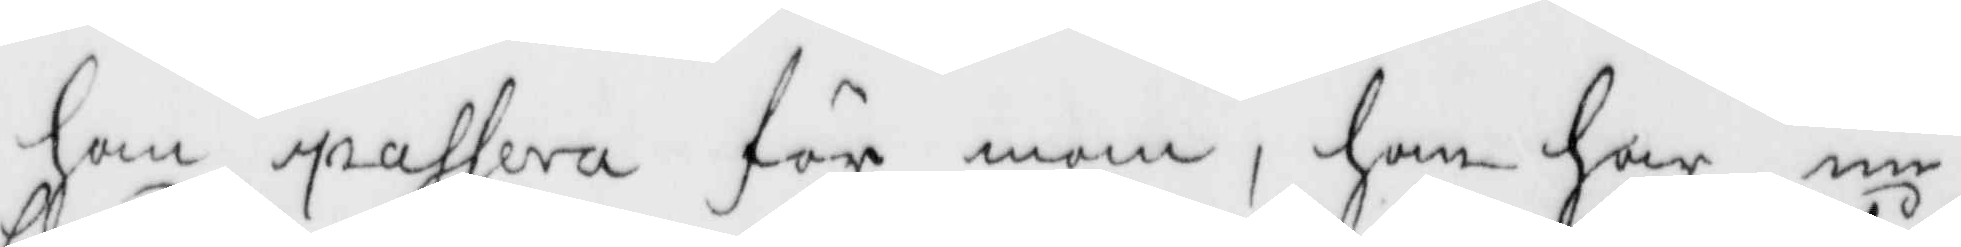han åassera för man, han har nu
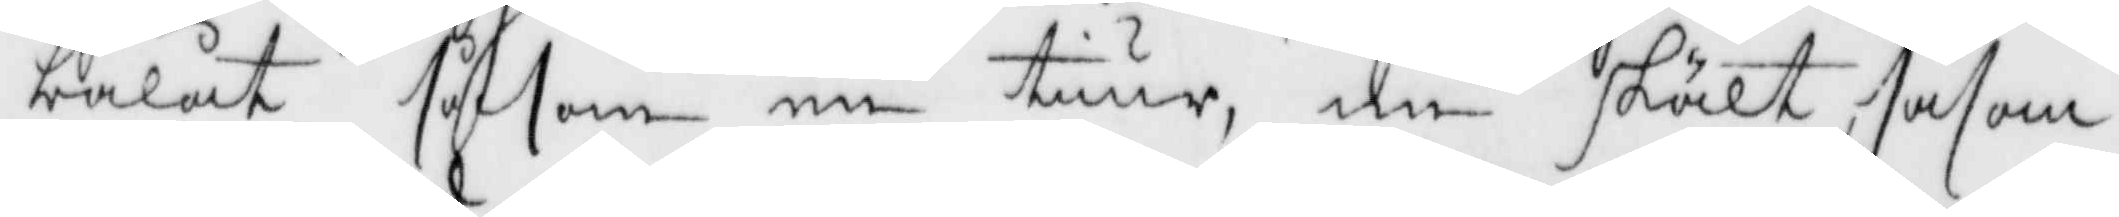bålat såsom en tiur, nu skält såsom
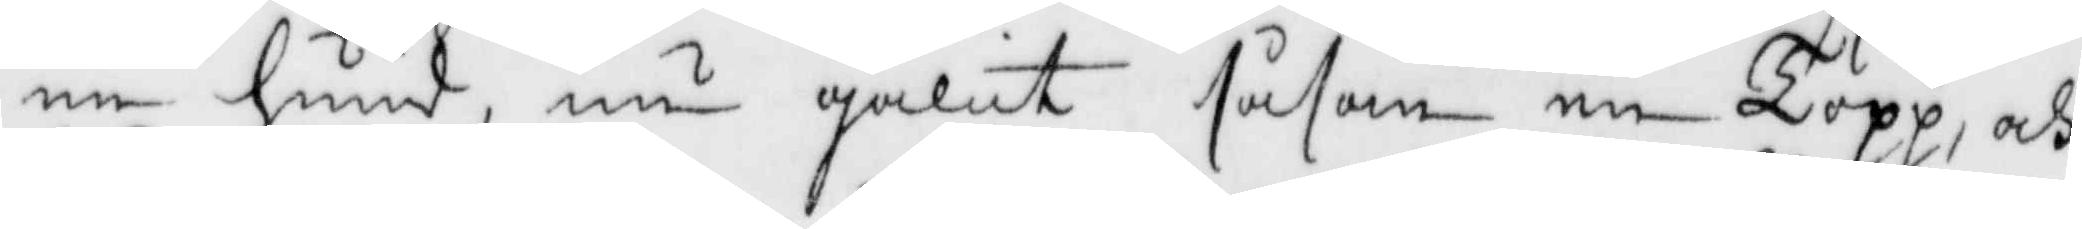en hund, nu galit såsom en Topp, och
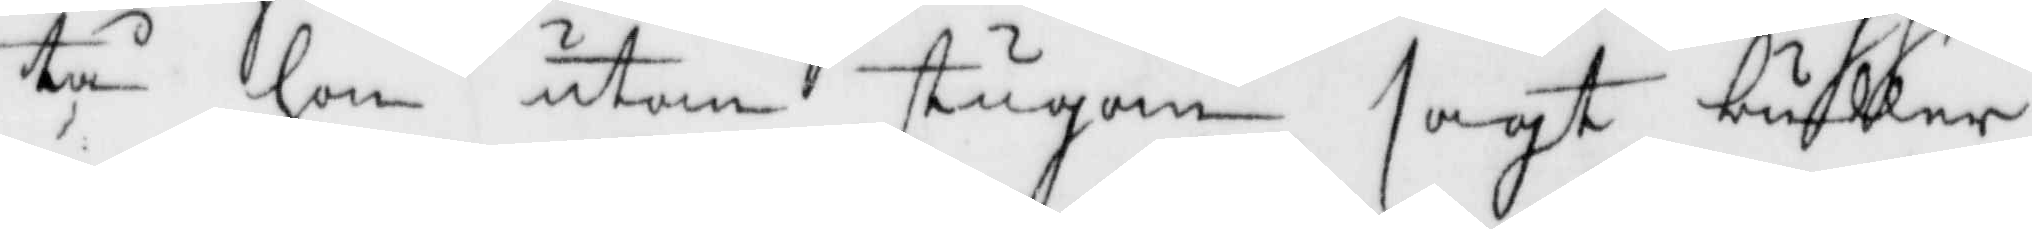tå hon utom stugan ssagt buller
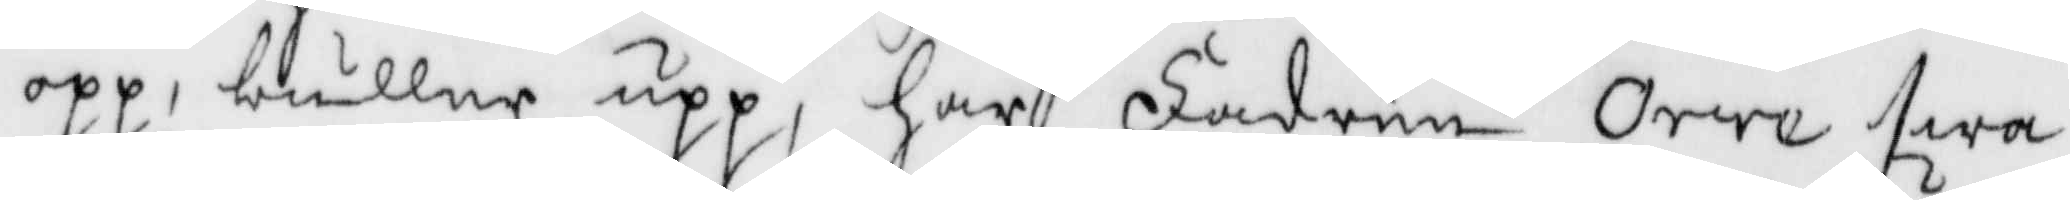opp, buller upp, har Fadern Orre swa¬
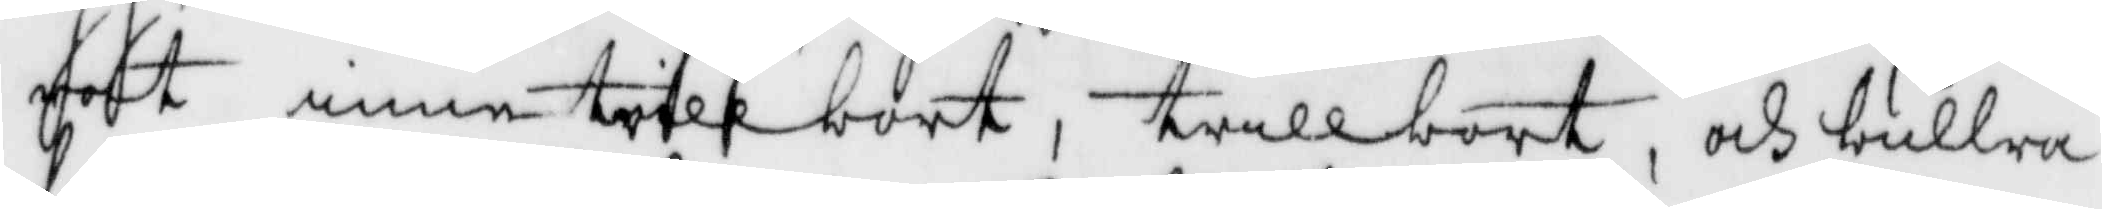rat inne trill bort, trillbort, och bullra
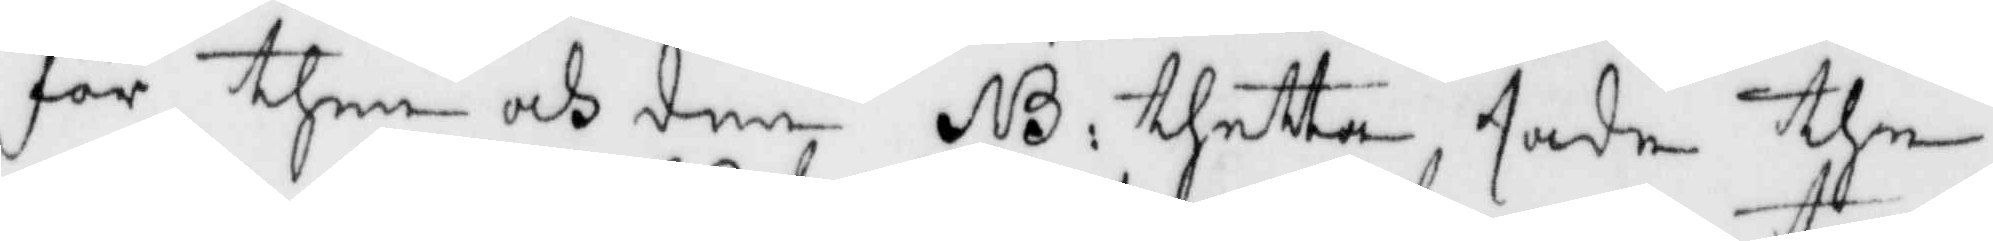för them och den NB: thetta sade the
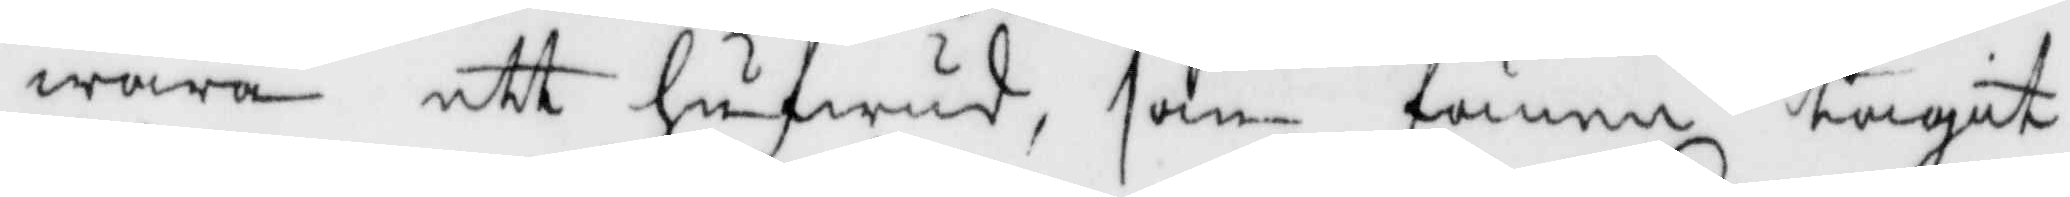wara ett hufwud, som fanen tagit
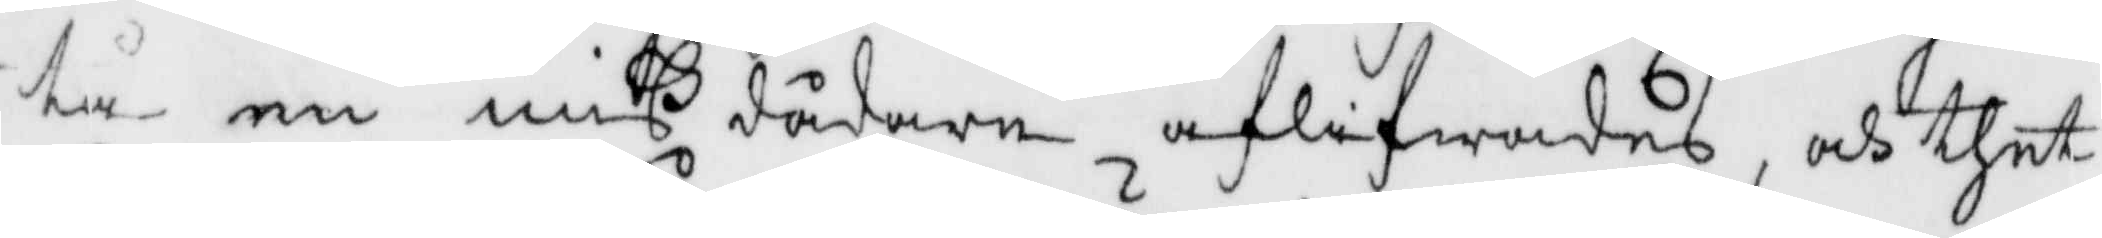tå en mißdådare aflifwades, och thet
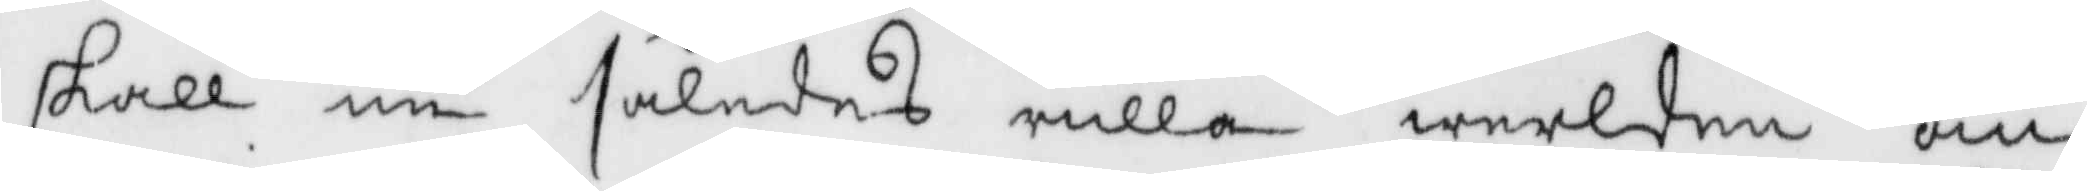skall nu således rulla wrlden om¬
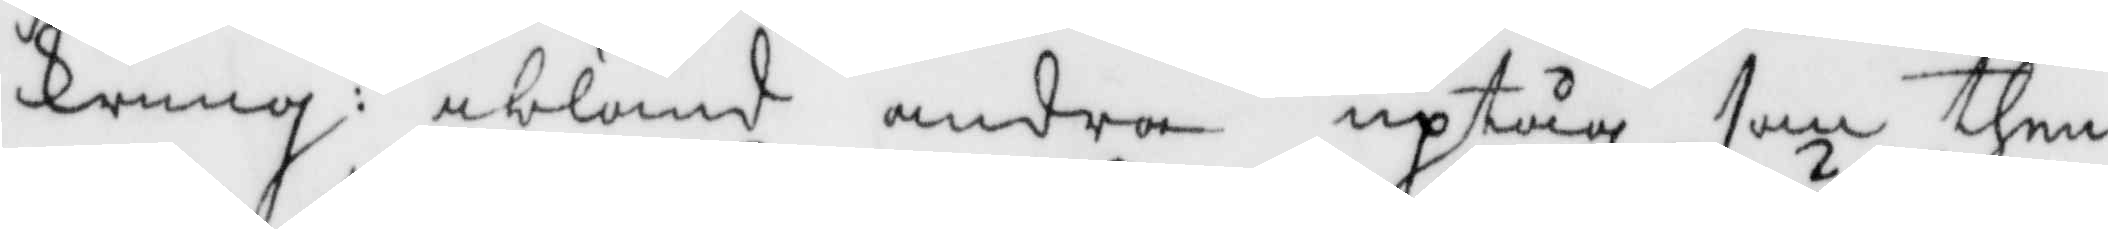kring: ibland andra uptåg som then¬
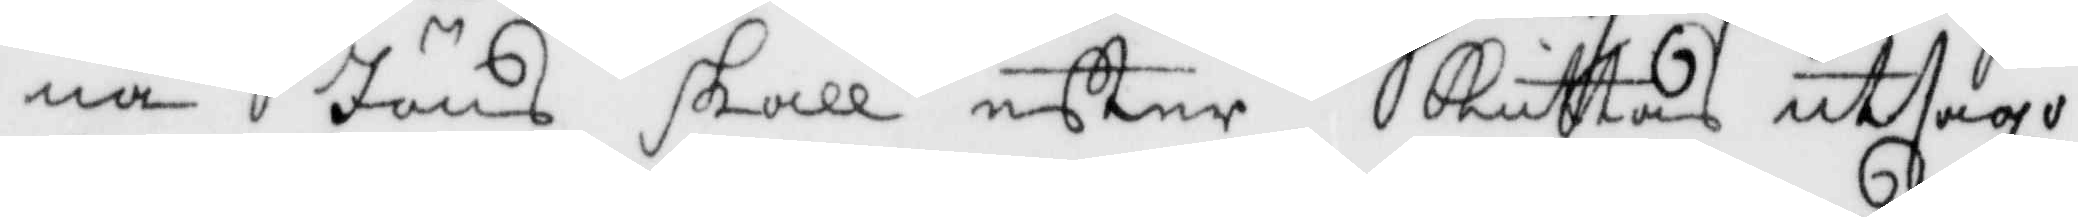na Jöns skall efter Kuttas utsago
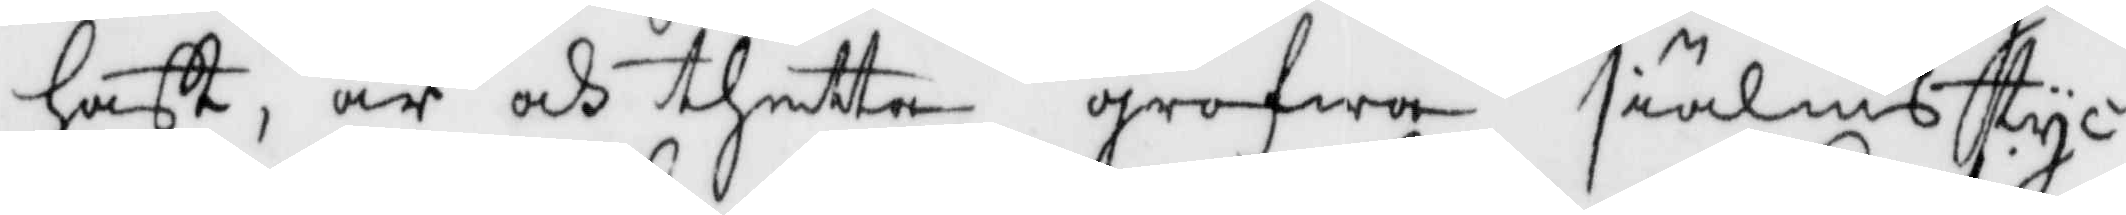haft, är och thetta grofwa siälmstyc¬
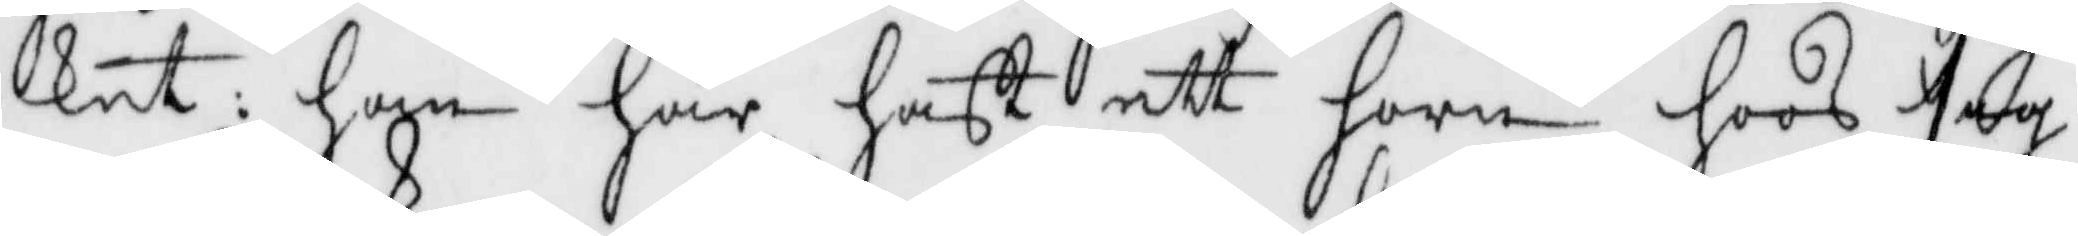ket: han har haft ett horn hoos sig
